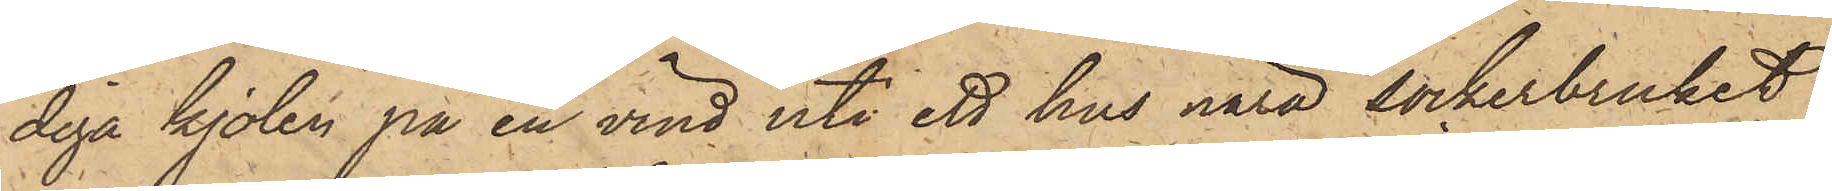diga kjolen på en vind uti ett hus nära sockerbruket
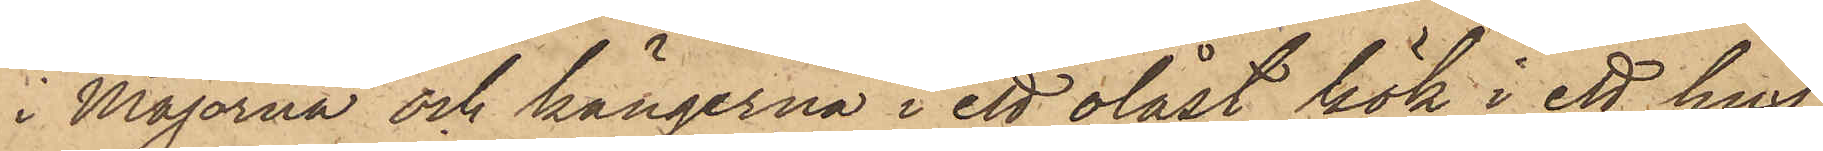i Majorna och kängerna i ett olåst kök i ett hus
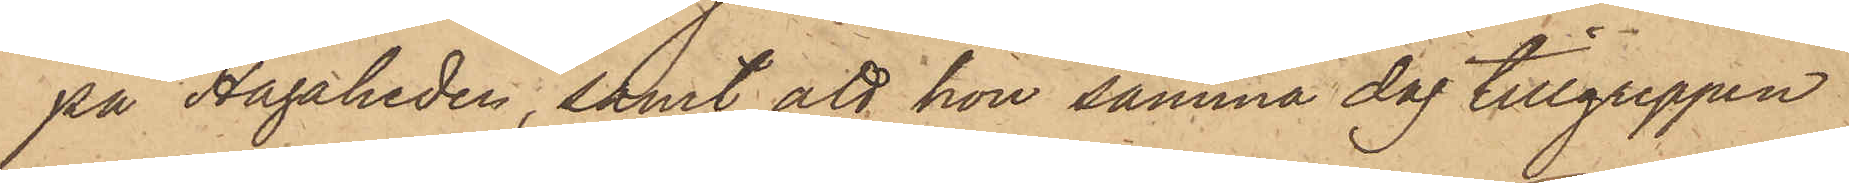på Hagaheden; samt att hon samma dag tillgreppen
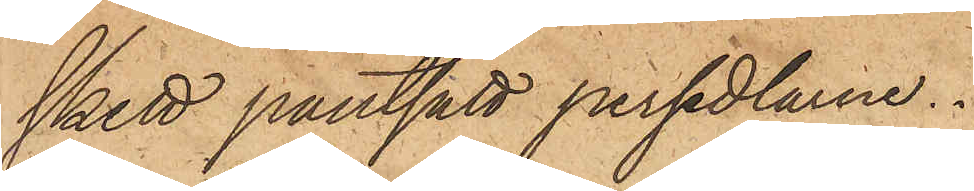skett pantsatt persedlarne.
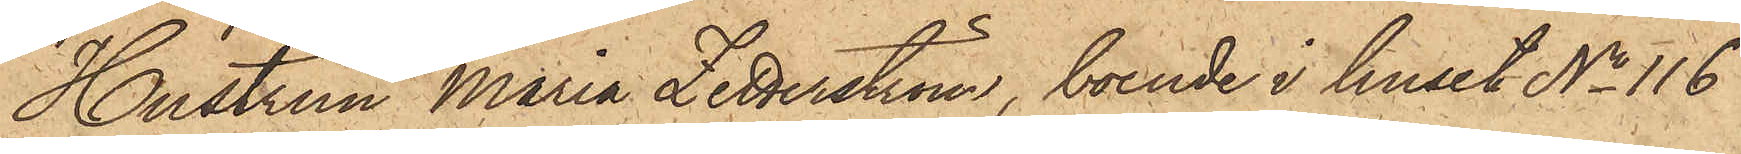Hustrun Maria Zetterström, boende i huset No 116
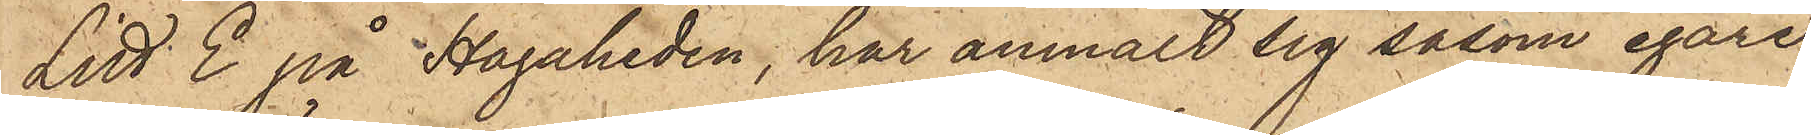Litt. E på Hagaheden, har anmält sig såsom egare
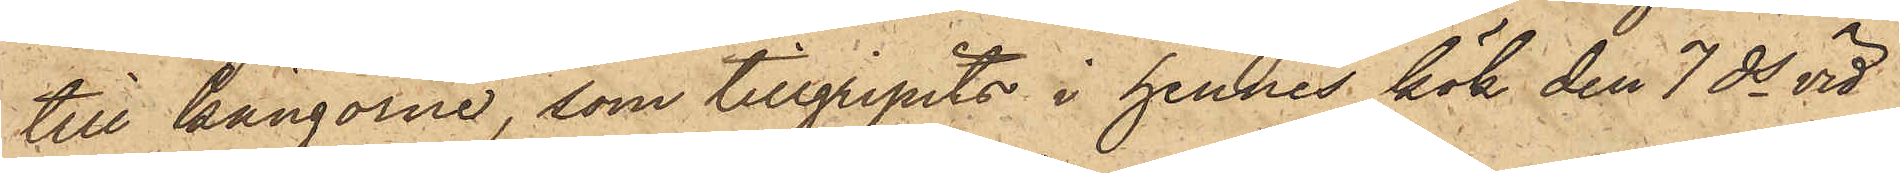till kängorne, som tillgripits i hennes kök den 7 ds vid
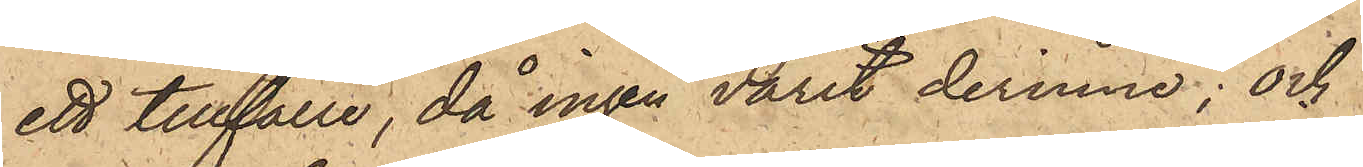ett tillfälle, då ingen varit derinne; och
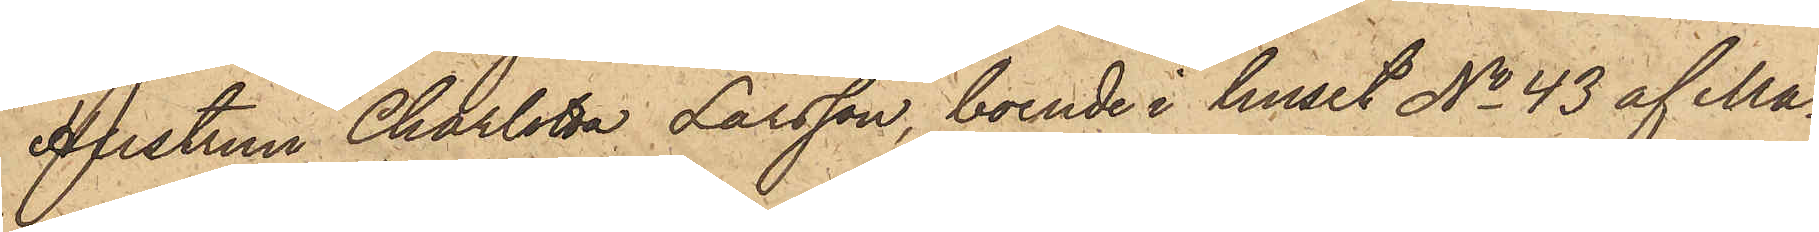Hustrun Charlotta Larsson, boende i huset No 43 af Ma¬
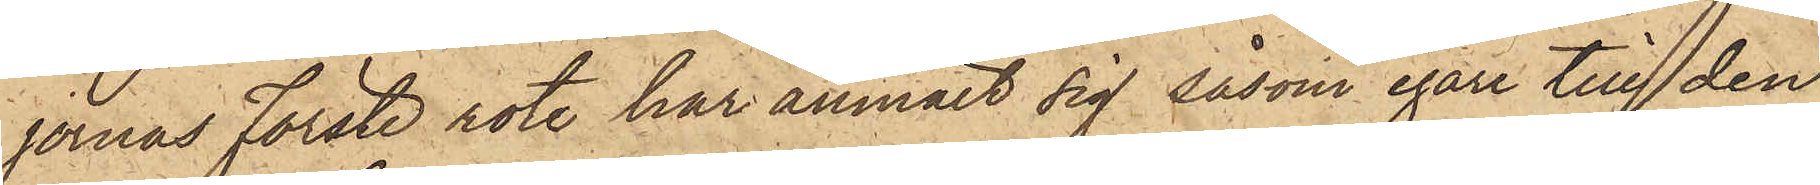jornas Förste rote har anmält sig såsom egare till den
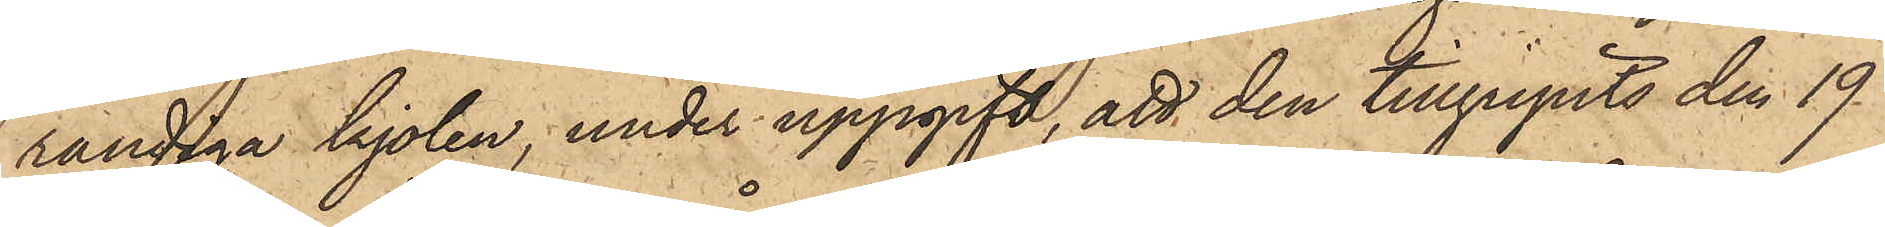randiga kjolen, under uppgift, att den tillgripits den 19
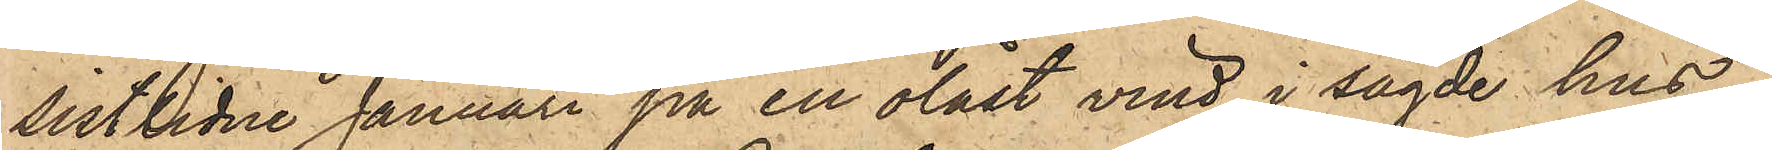sistlidne Januari på en olåst vind i sagde hus.
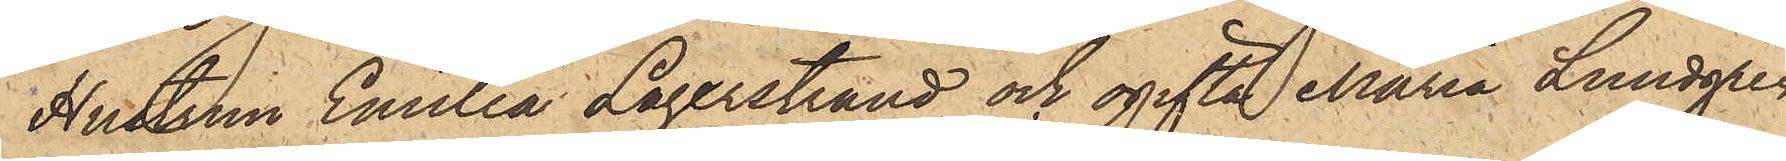Hustrun Emilia Lagerstrand och ogifta Maria Lundgren
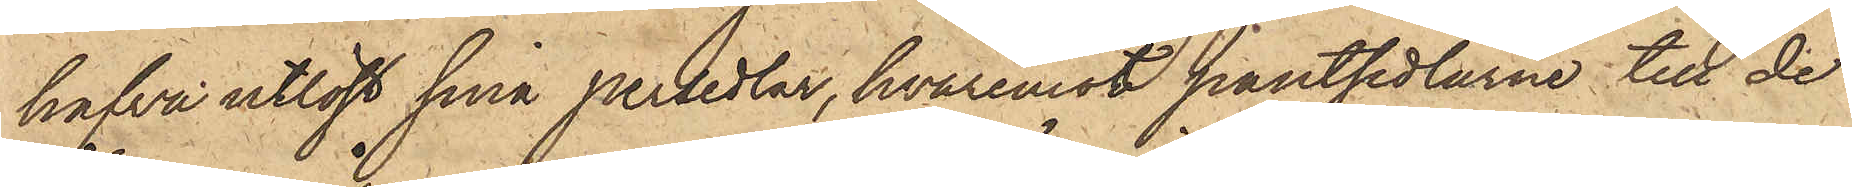hafva utlöst sina persedlar, hvaremot pantsedlarne till de
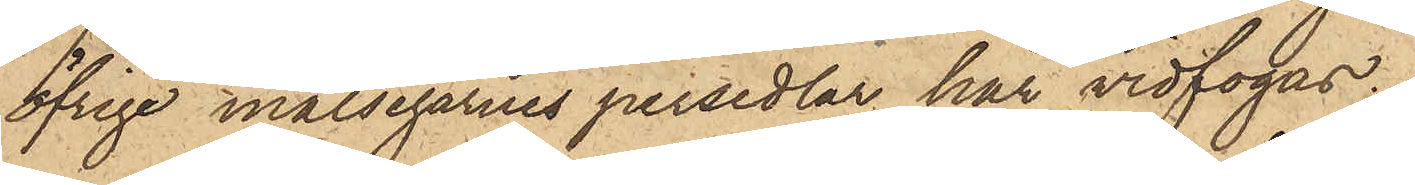öfrige målsegarnes persedlar här vidfogas.
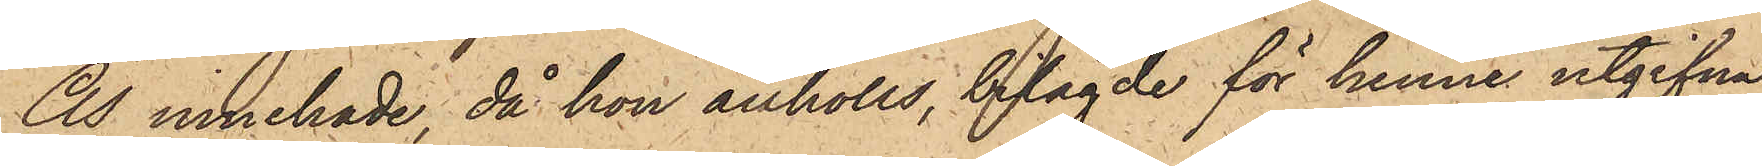Ås innehade, då hon anhölls, bilagde för henne utgifna
